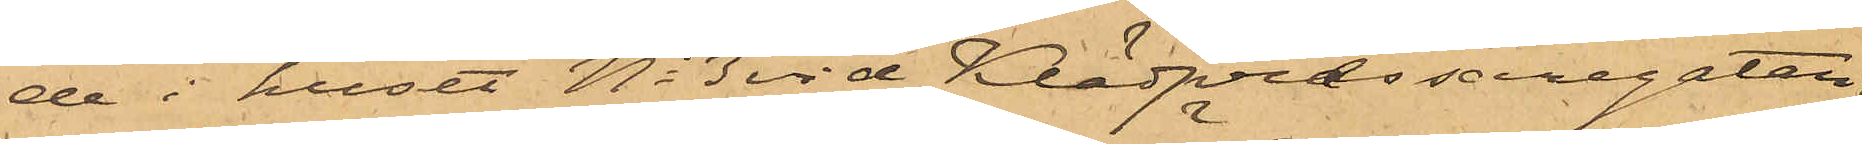de i huset No 3 vid Klädpressaregatan,
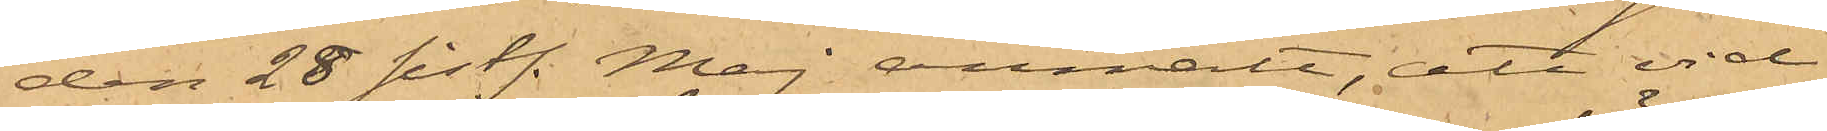den 28 sistl. Maj anmält, att vid
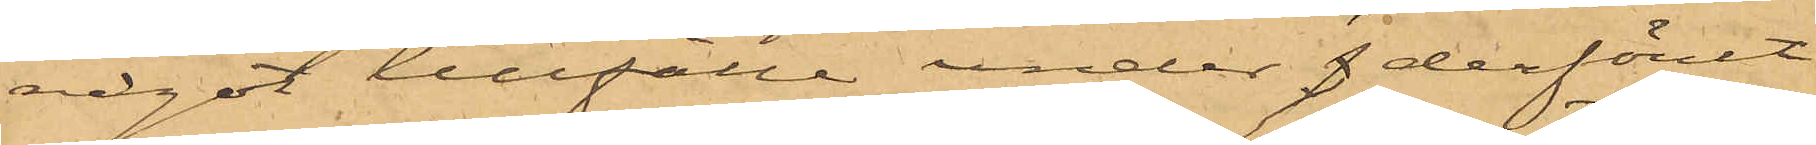något tillfälle under derförut
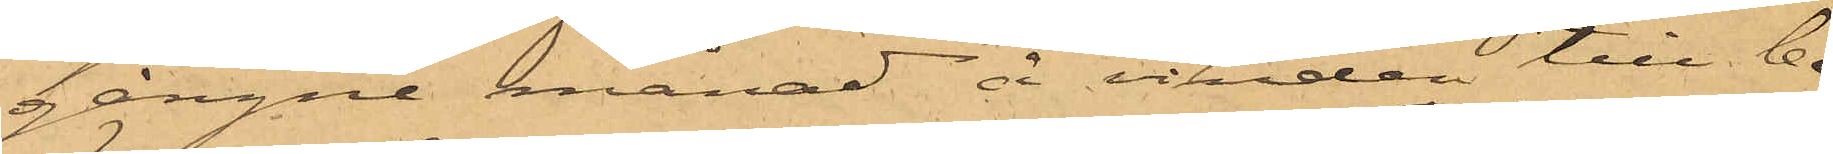gångne månad å vinden till be¬
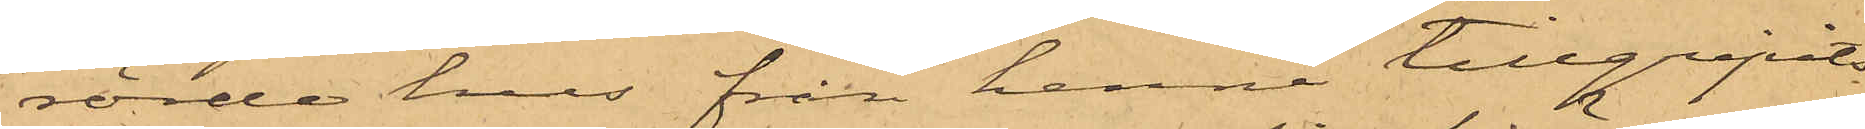rörde hus från henne tillgripits
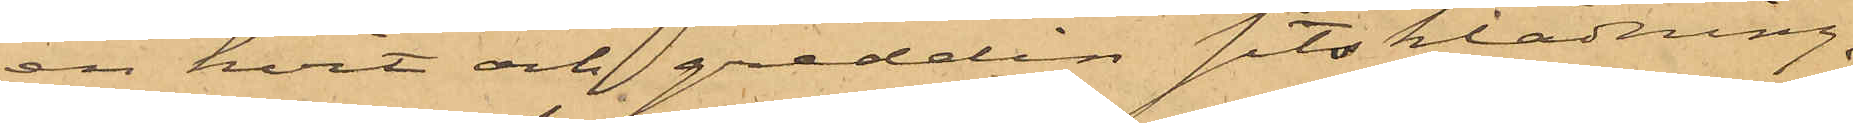en hvit och gredelin sitsklädning,
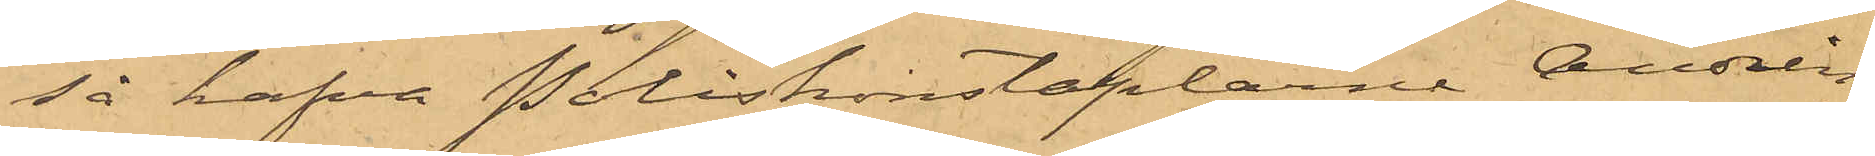så hafva Poliskonstaplarne Andrén
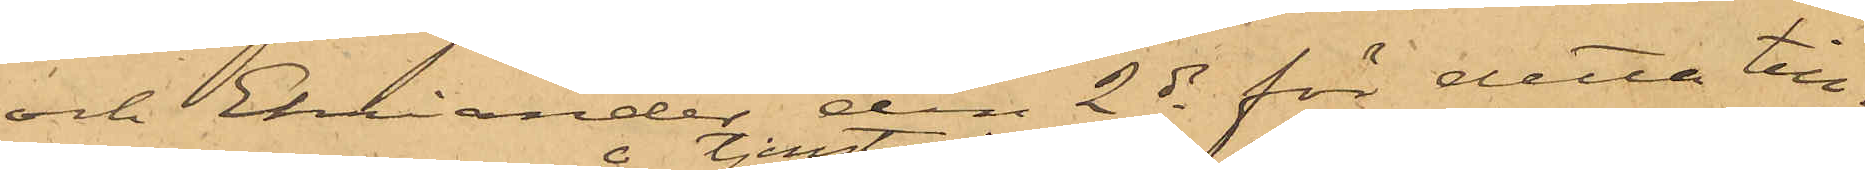och Ehriander den 2 ds för detta till¬
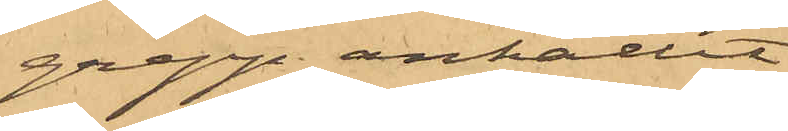grepp anhållit
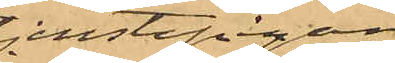tjenstepigan
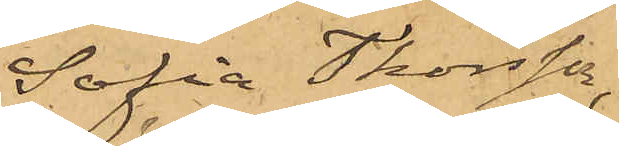Sofia Thorsson,
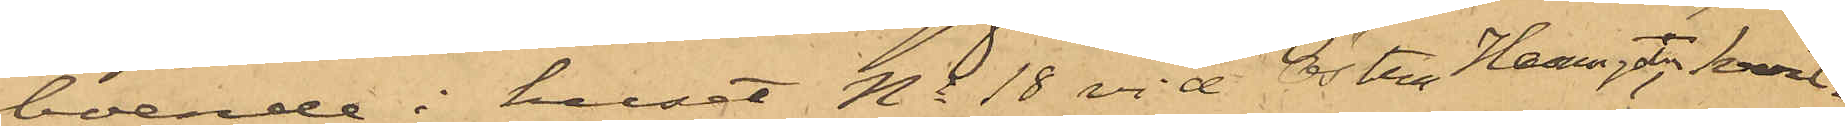boende i huset No 18 vid Östra Hamngatan, hvil¬
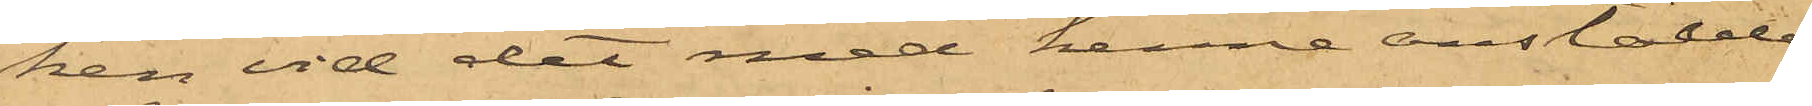ken vid det med henne anstälde
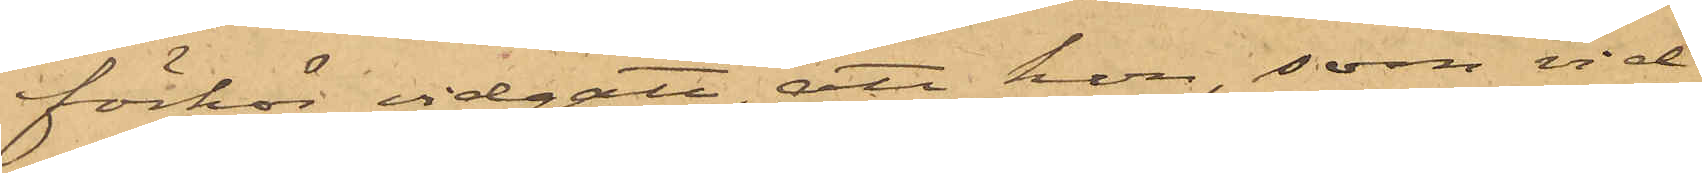förhör vidgått, att hon som vid
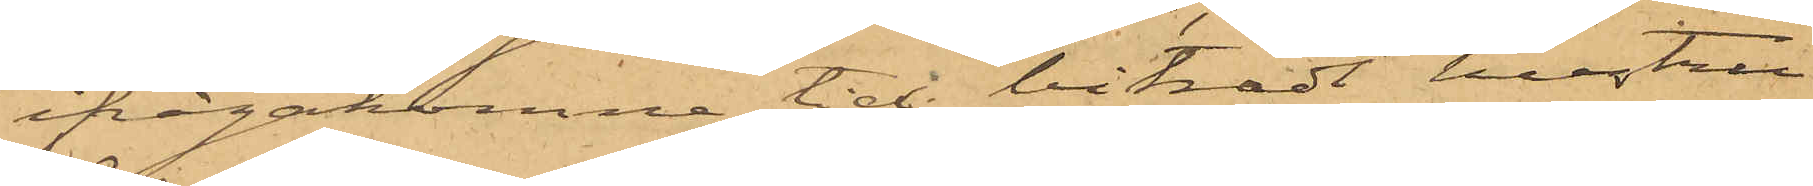ifrågakomne tid biträdt hustru
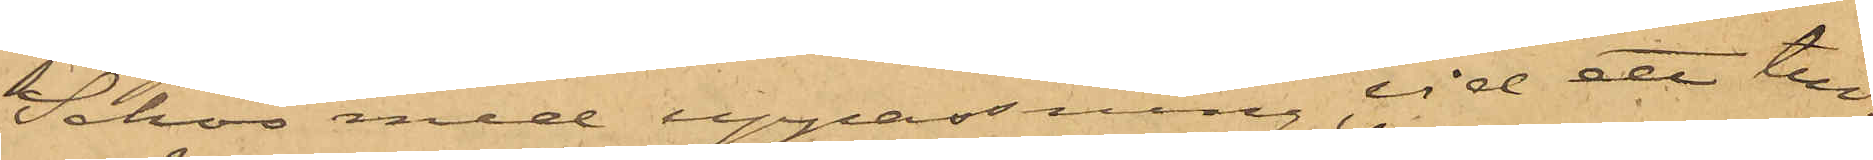Schoo med uppassning, vid ett till¬
